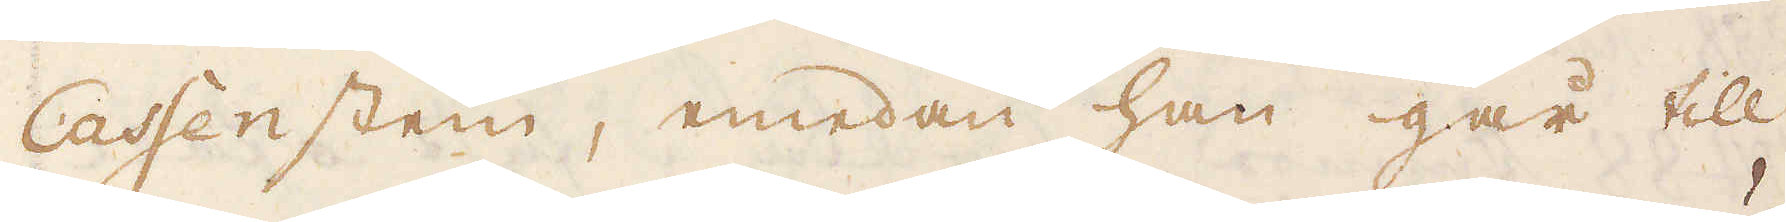Cassenstein, emedan han går till
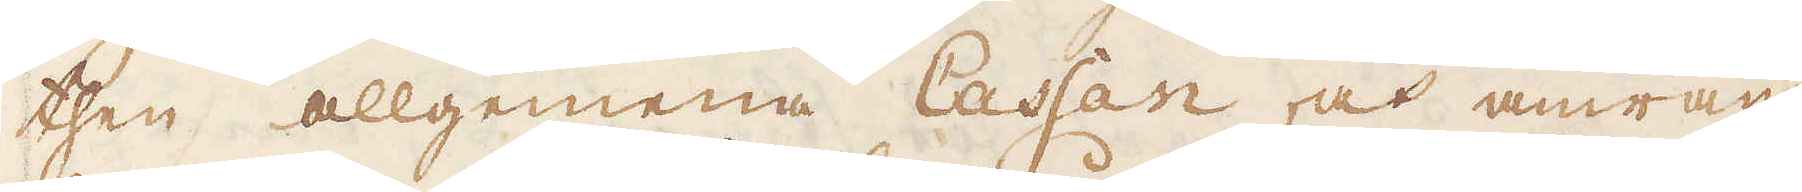then allgemena Cassan, och anwän-
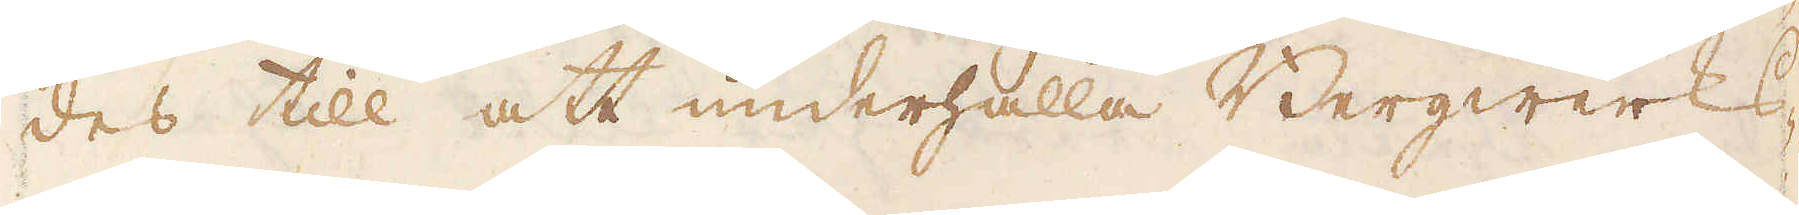des till att underhålla Bergwerks-
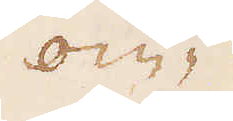om-
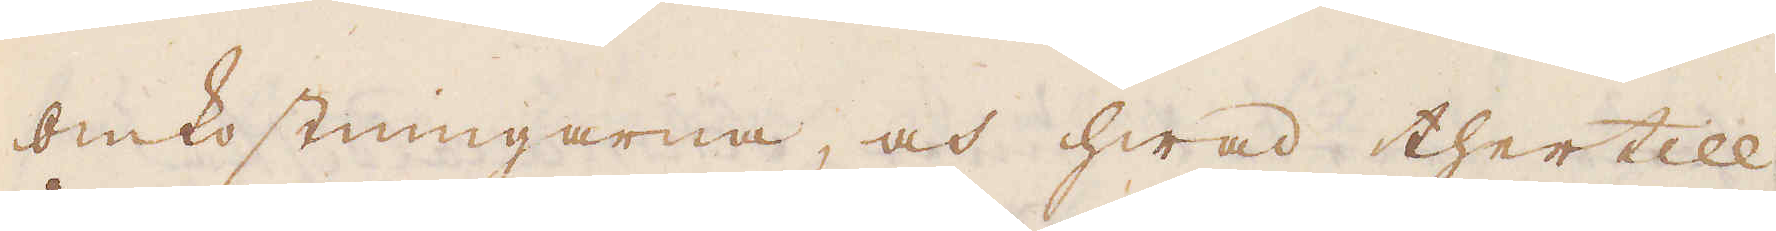omkostningarne, och hwad thertill
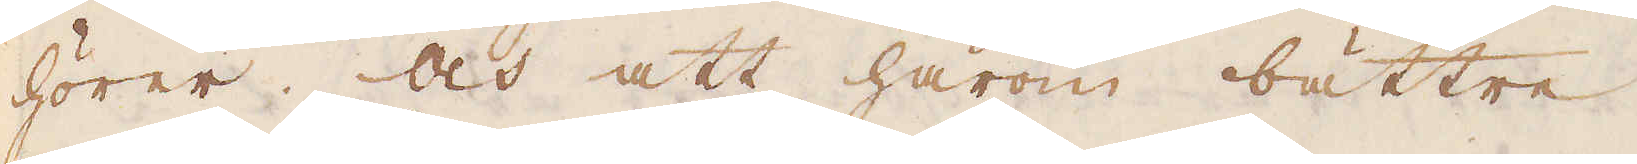hörer. Och att härom bättre
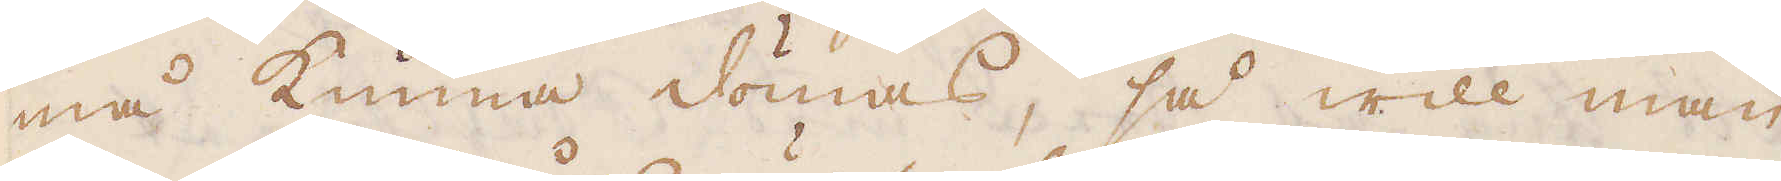må kunna dömas, så will man
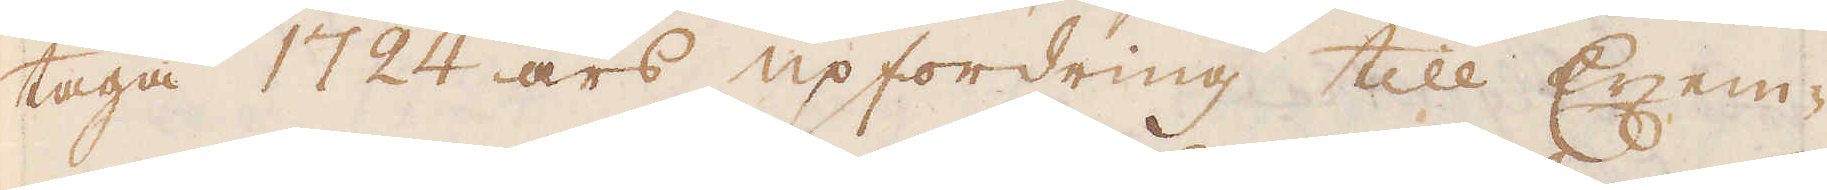taga 1724 års upfordring till Exem-
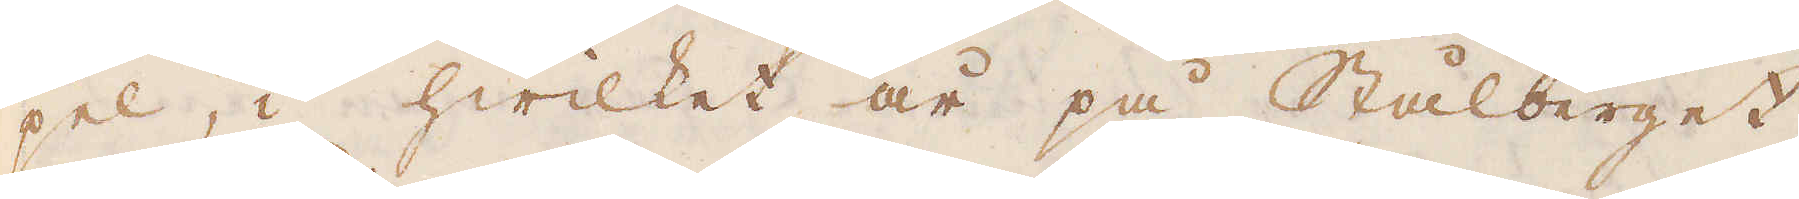pel, i hwilket år på Stålberget,
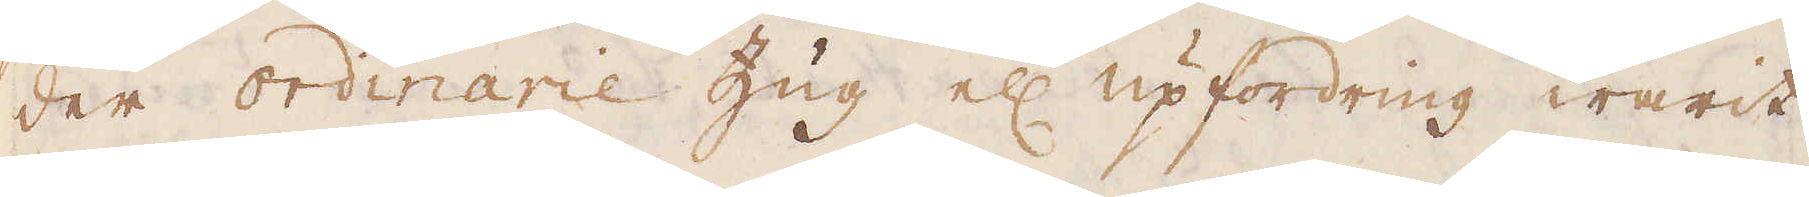der ordinarie Zug el: upfordring warit
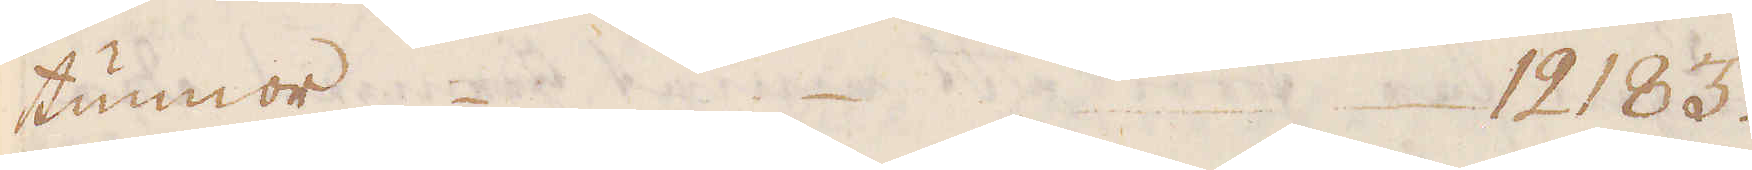tunnor 12 183.
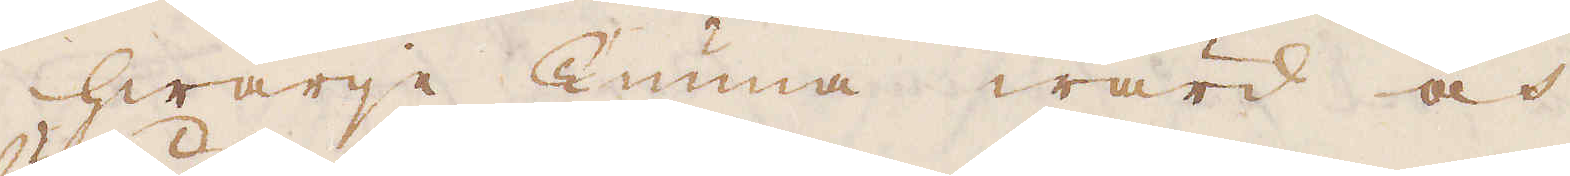Hwarje tunna wärd och
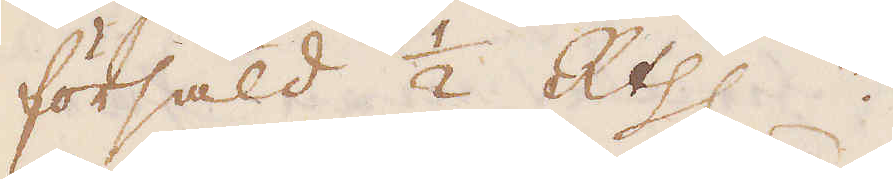försåld 1/2 R:thlr.
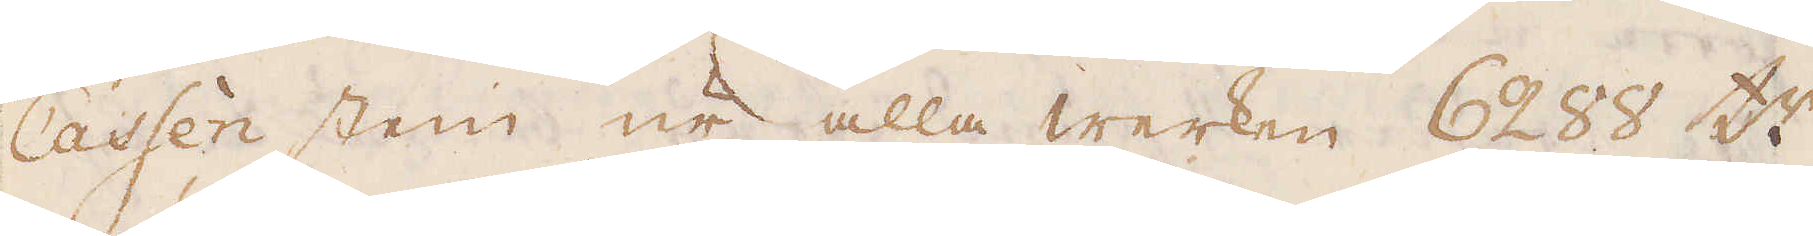Cassen stein ur alla werken 6288 t:r
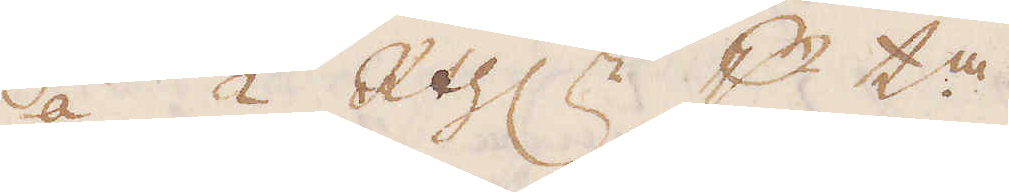á 1/2 R:thlr p t:a.
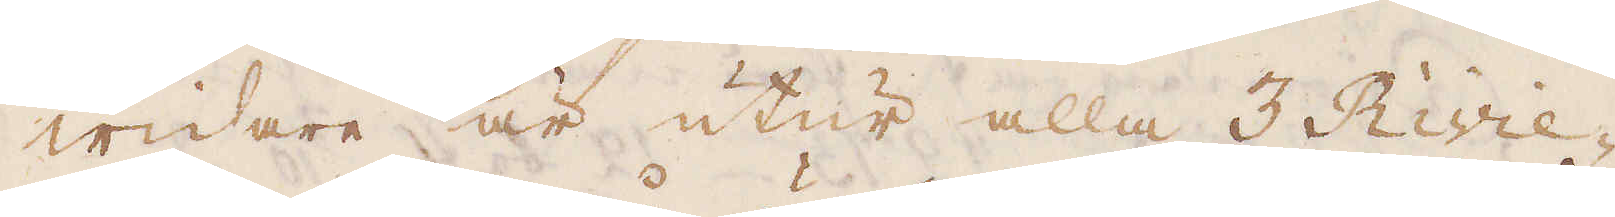Widare är utur alla 3 Rivie-
